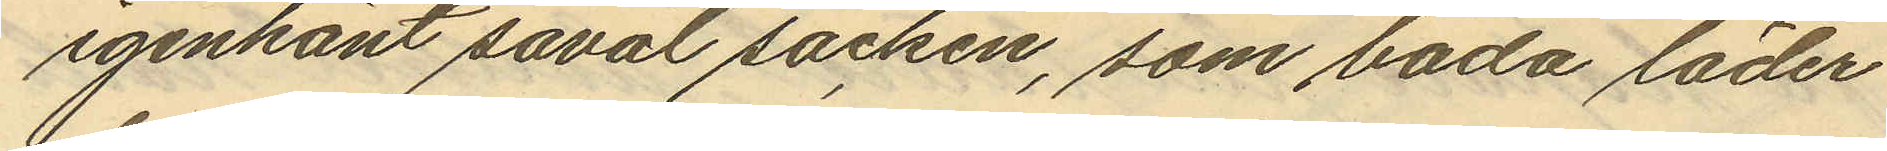igenkänt såväl säcken, som båda läder
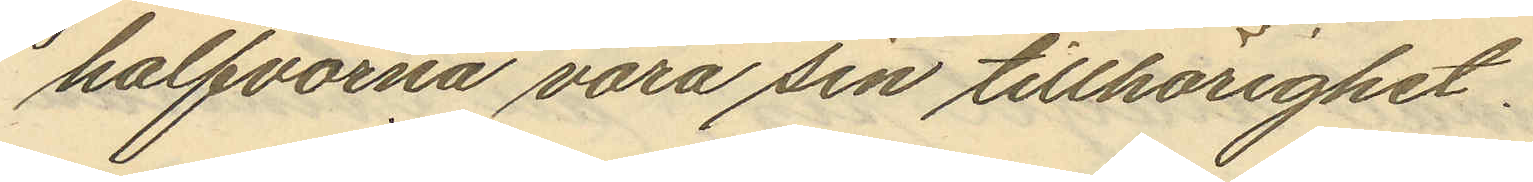halfvorna vara sin tillhörighet.
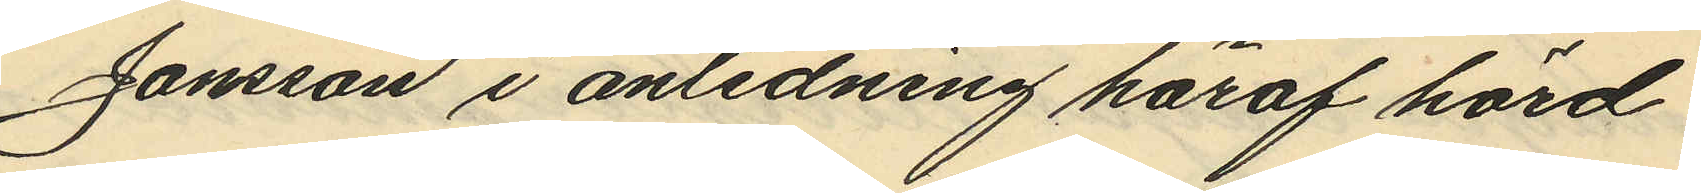Jansson i anledning häraf hörd
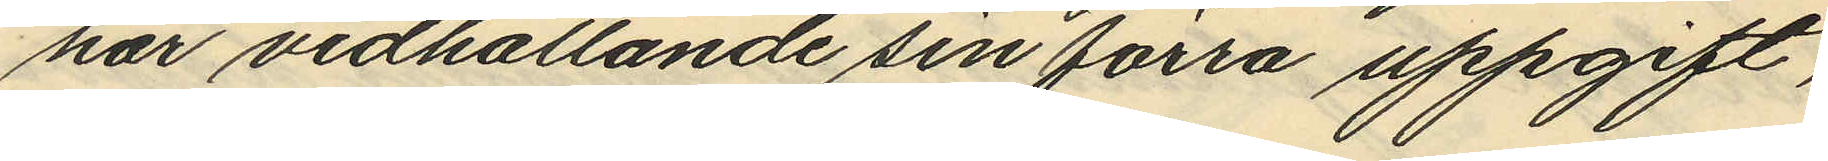har vidhållande sin förra uppgift,
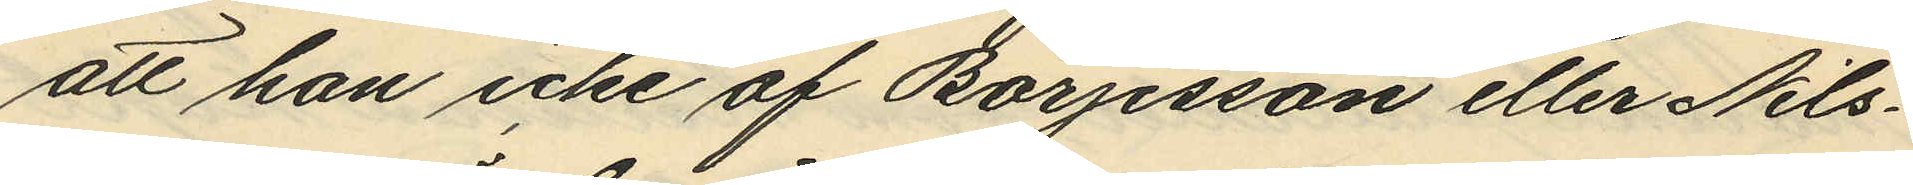att han icke af Börjesson eller Nils¬
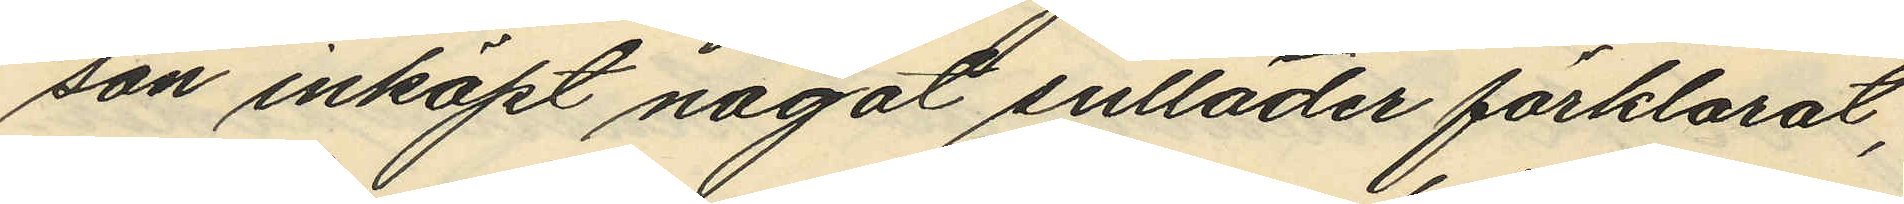son inköpt något sulläder förklarat,
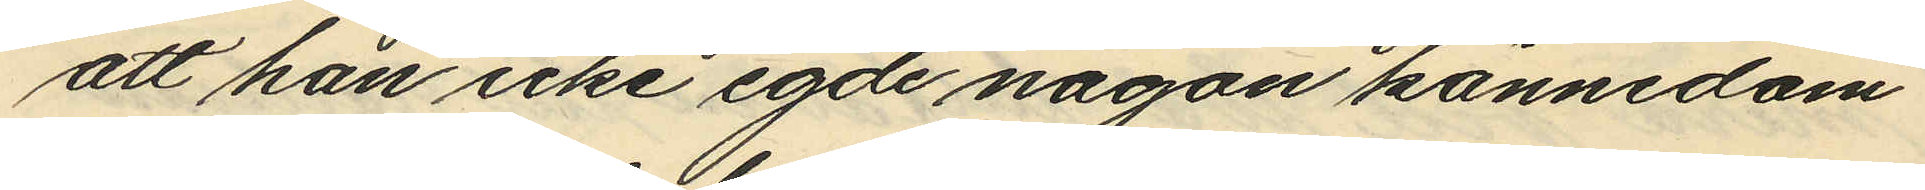att han icke egde någon kännedom
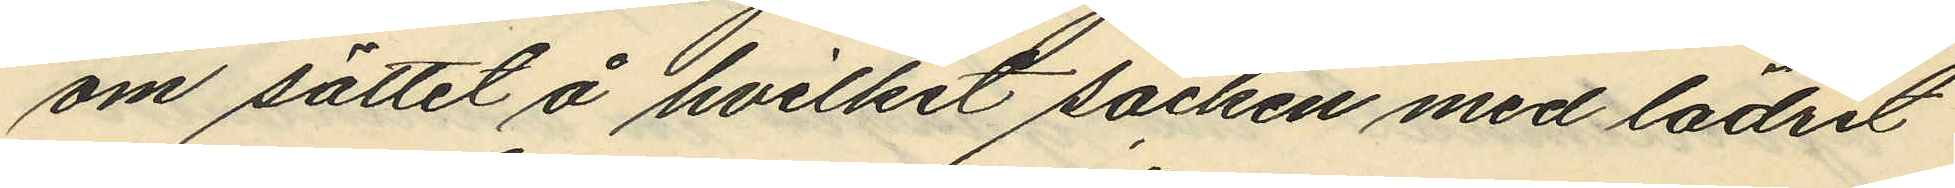om sättet å hvilket säcken med lädret
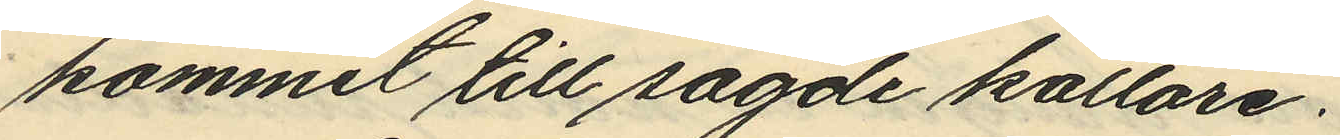kommit till sagde källare.
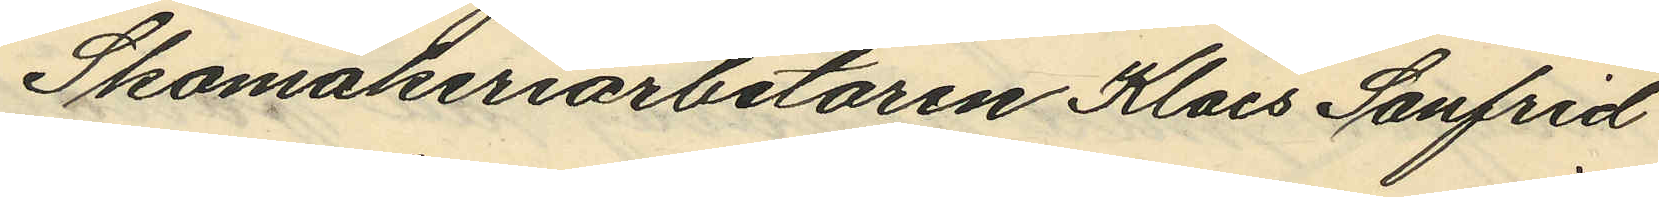Skomakeriarbetaren Klaes Sanfrid
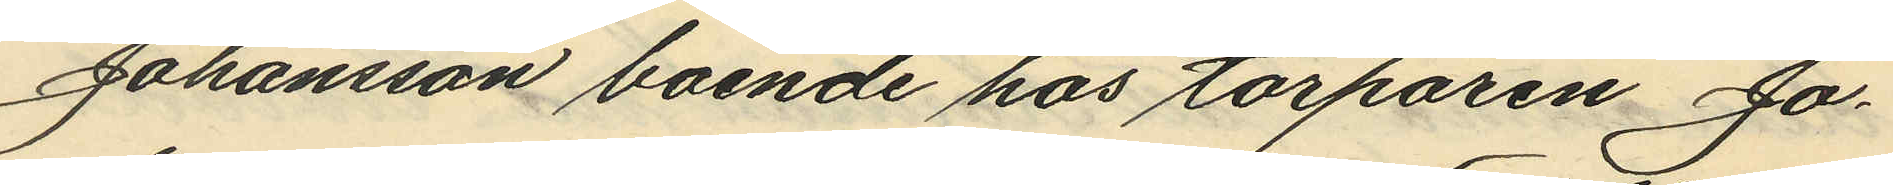Johansson boende hos torparen Jo¬
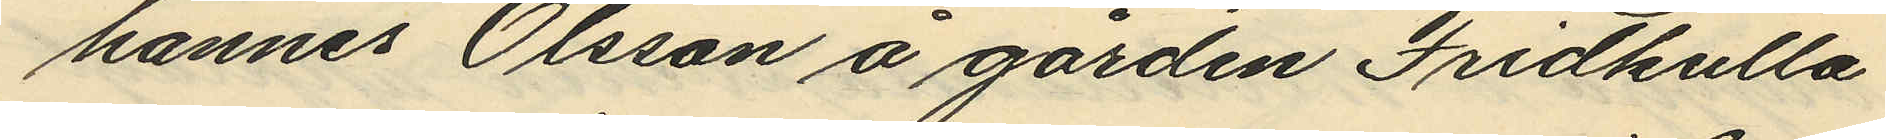hannes Olsson å gården Fridkulla
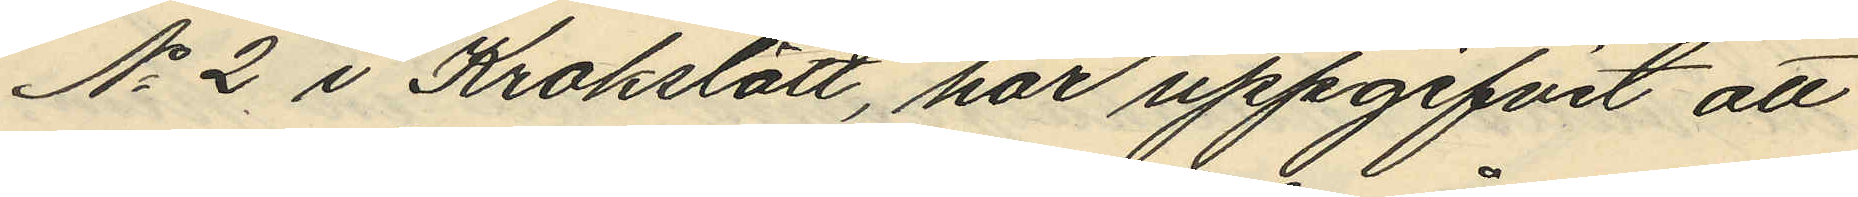No 2 i Krokslätt, har uppgifvit att
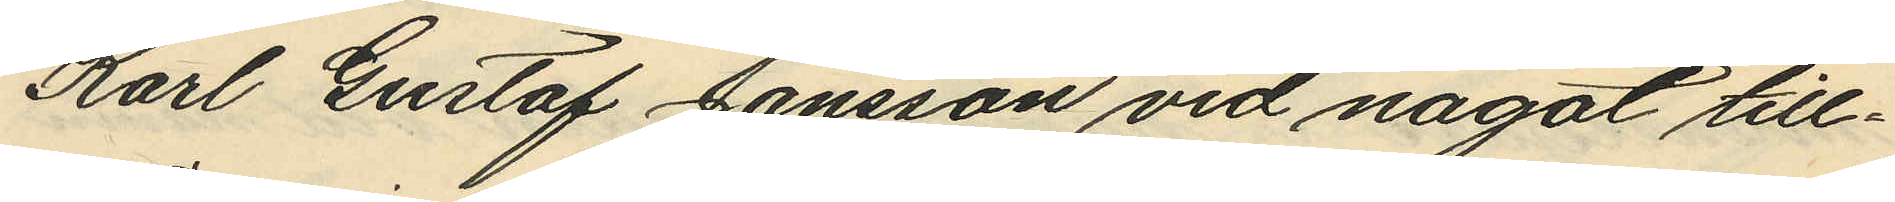Karl Gustaf Jansson vid något till¬
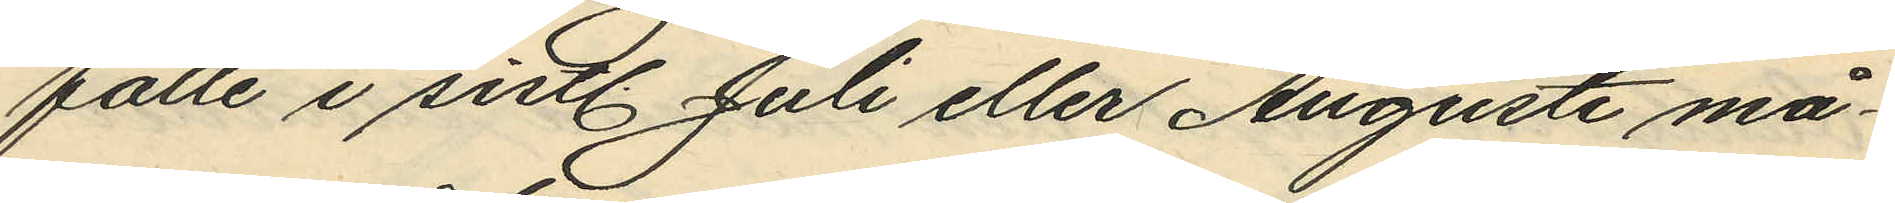fälle i sistl. Juli eller Augusti må¬
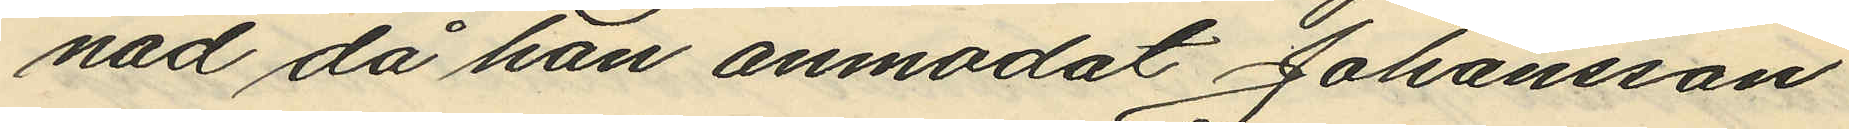nad då han anmodat Johansson
